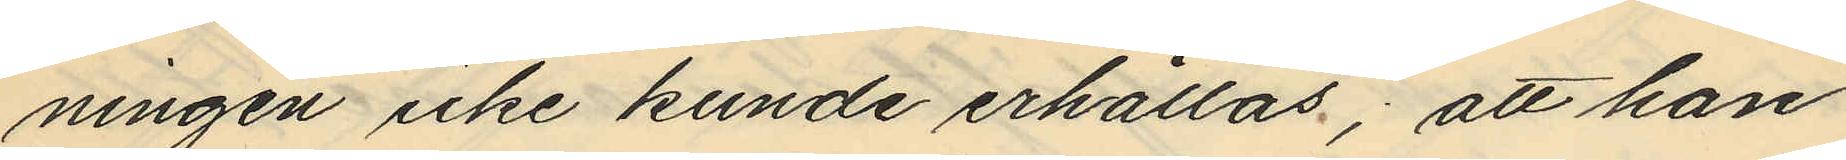ningen icke kunde erhållas; att han
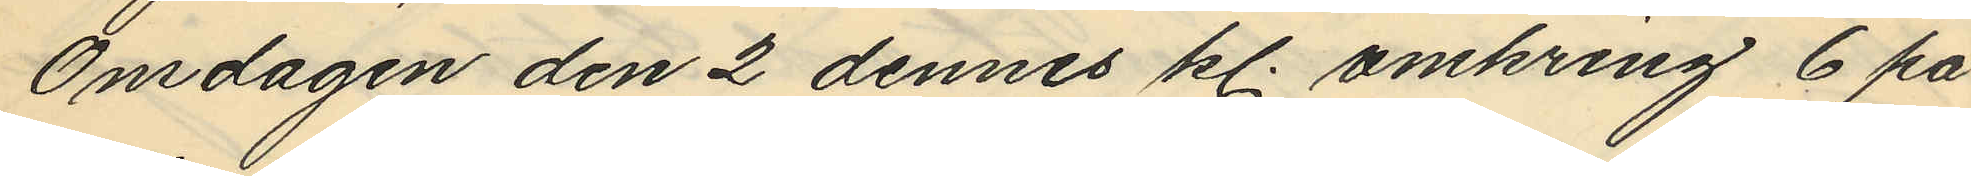Onsdagen den 2 dennes kl. omkring 6 på
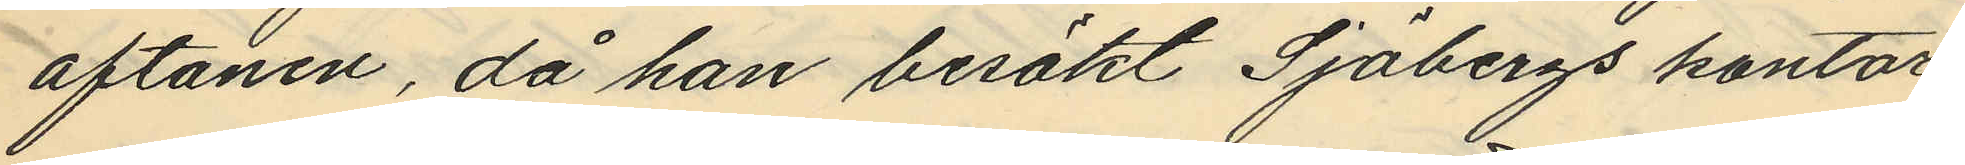aftonen, då han besökt Sjöbergs kontor
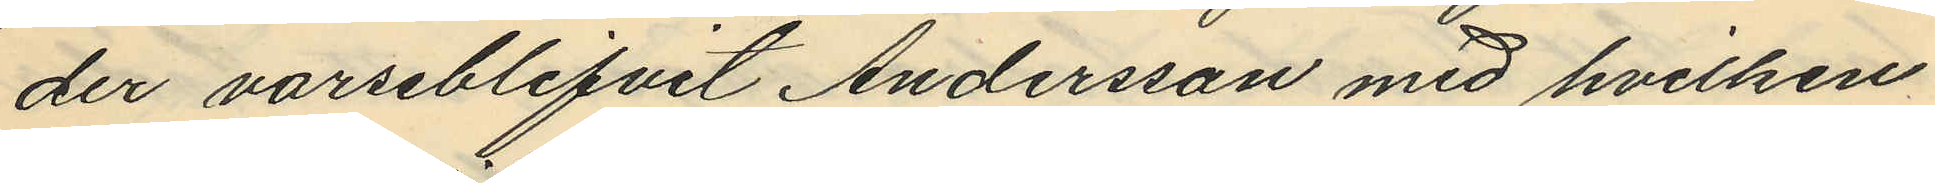der varseblifvit Andersson med hvilken
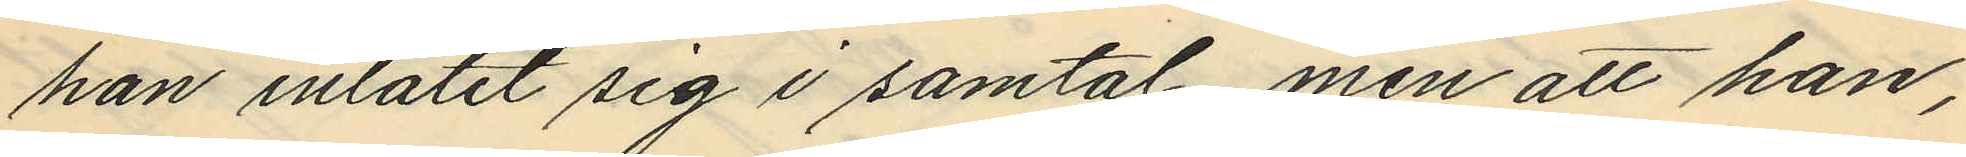han inlåtit sig i samtal, men att han,
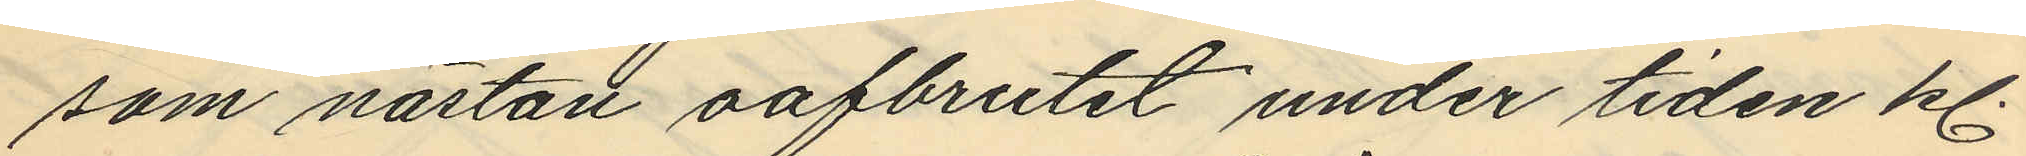som nästan oafbrutet under tiden kl.
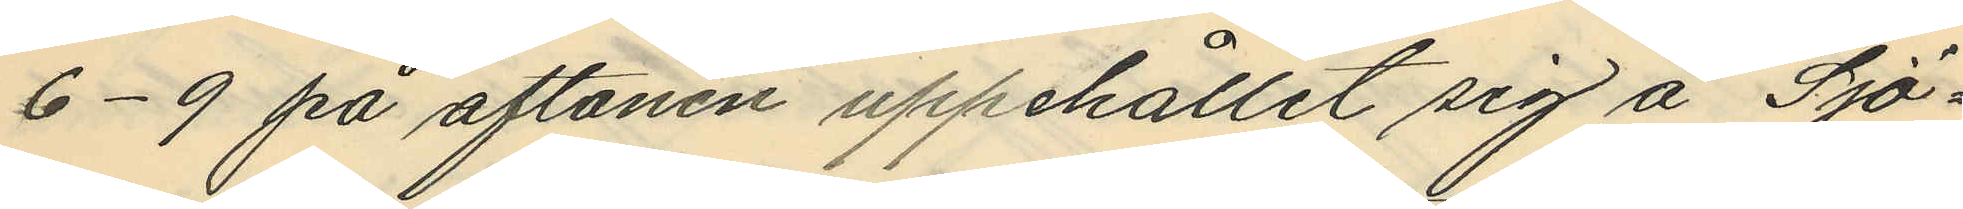6-9 på aftonen uppehållit sig å Sjö¬
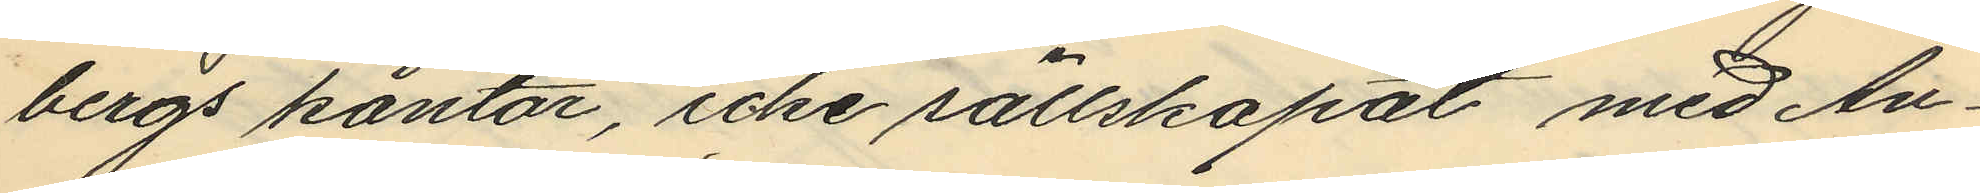bergs kontor, icke sällskapat med An¬
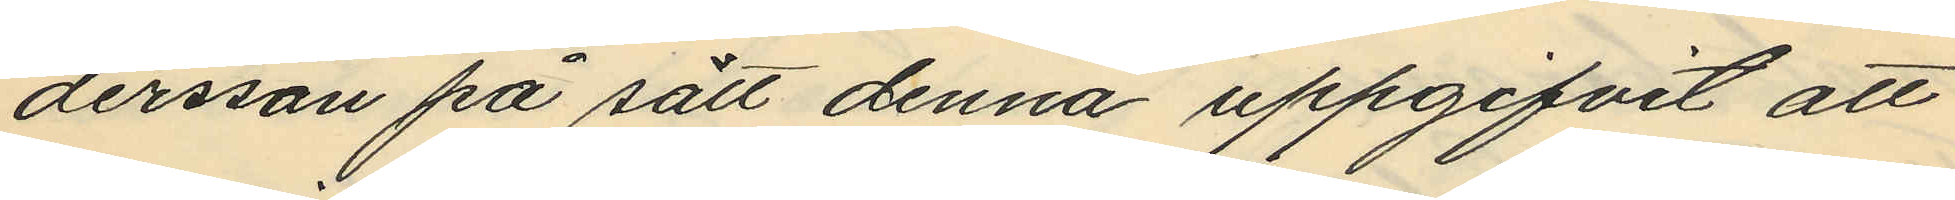dersson på sätt denna uppgifvit att
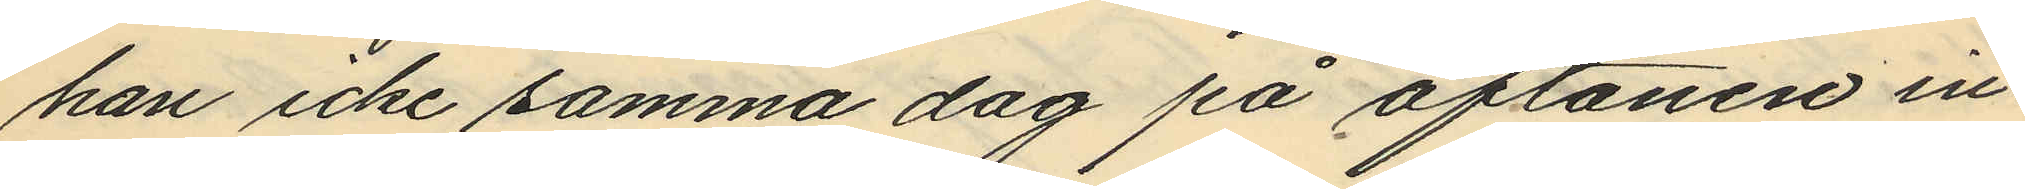han icke samma dag på aftonen in¬
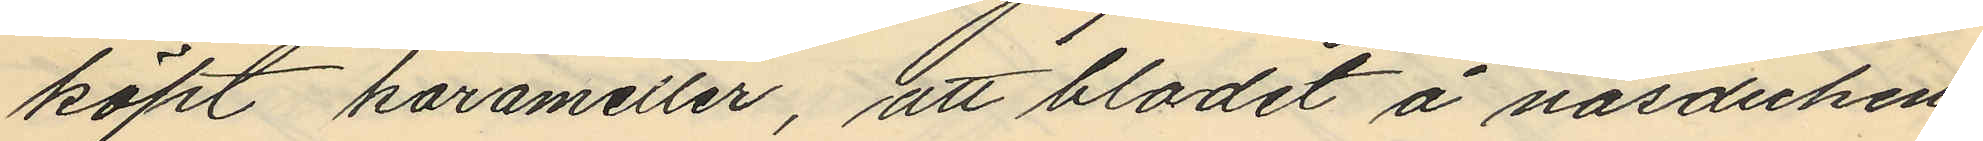köpt karameller, att blodet å näsduken
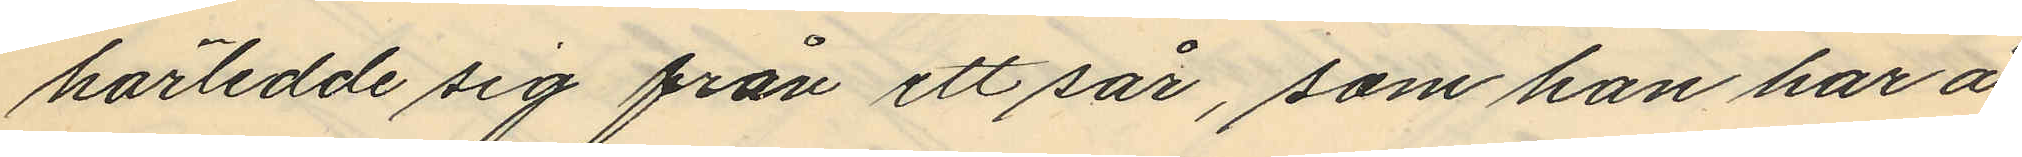härledde sig från ett sår, som han har å
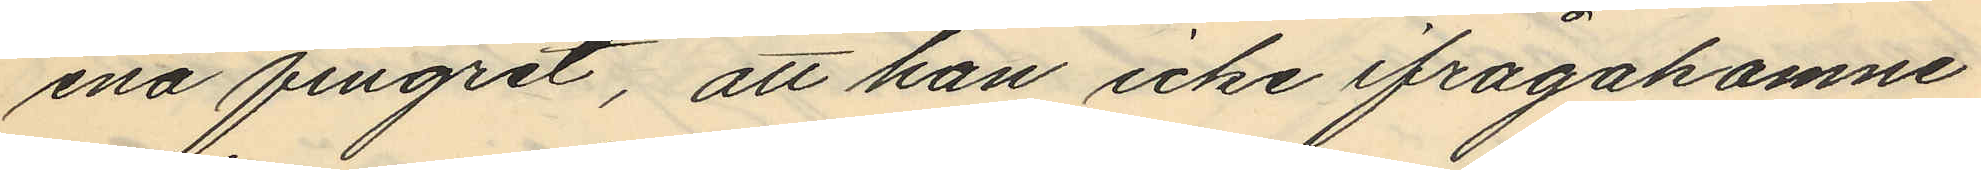ena fingret, att han icke ifrågakomne
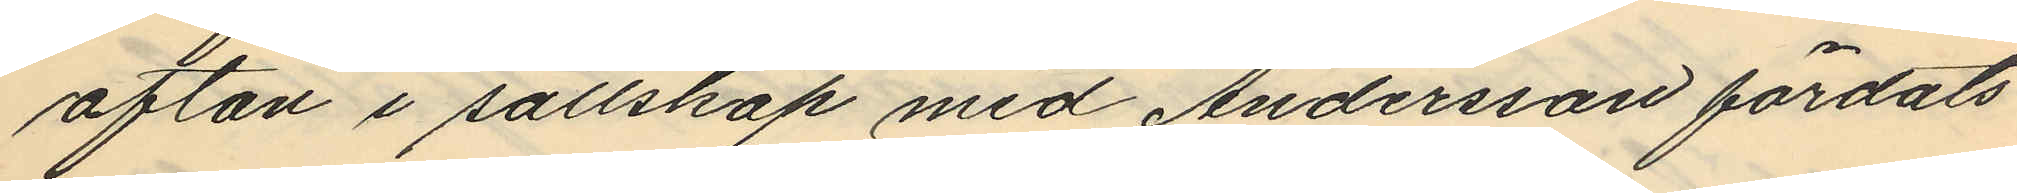afton i sällskap med Andersson färdats
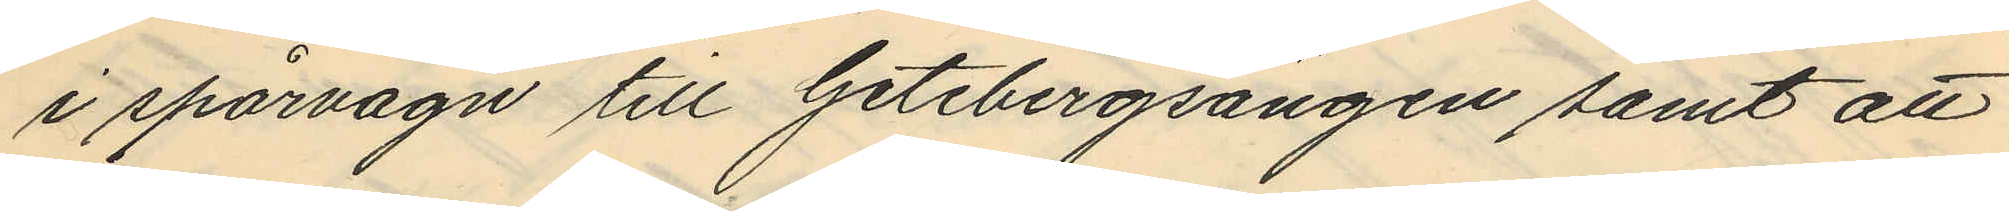i spårvagn till Getebergsängen samt att
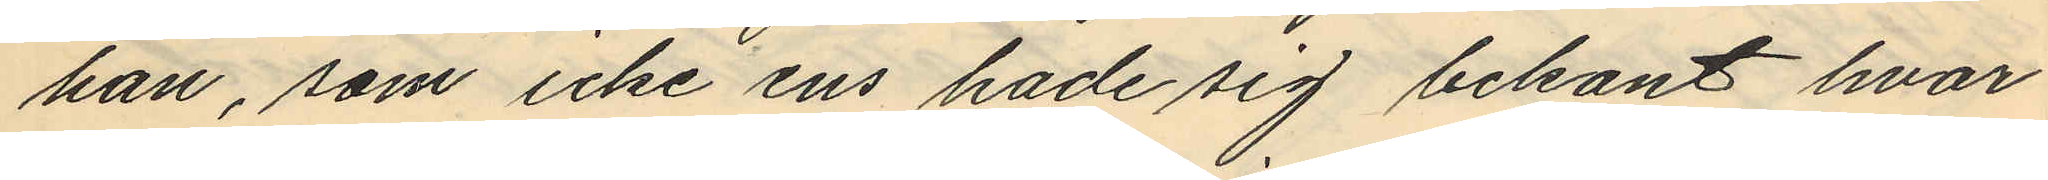han, som icke ens hade sig bekant hvar
